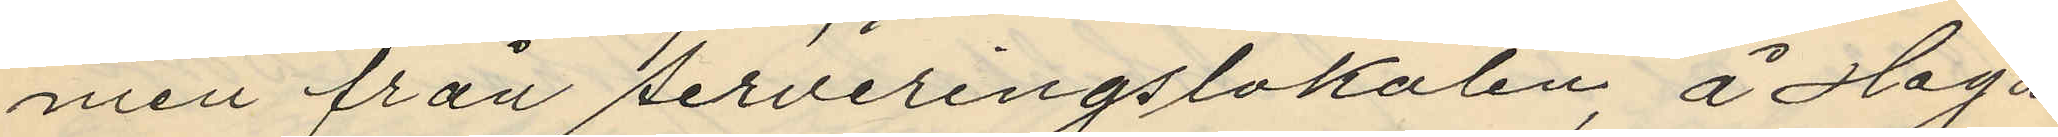men från serveringslokalen, å Haga
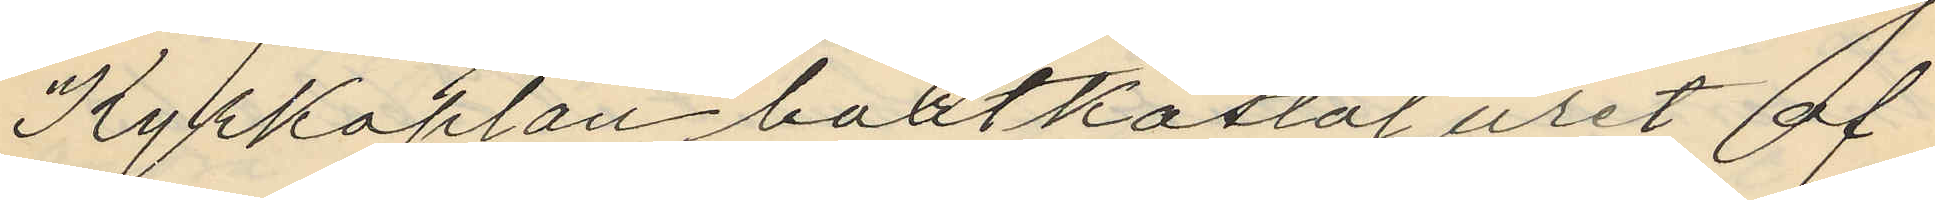Kyrkoplan bortkastat uret af
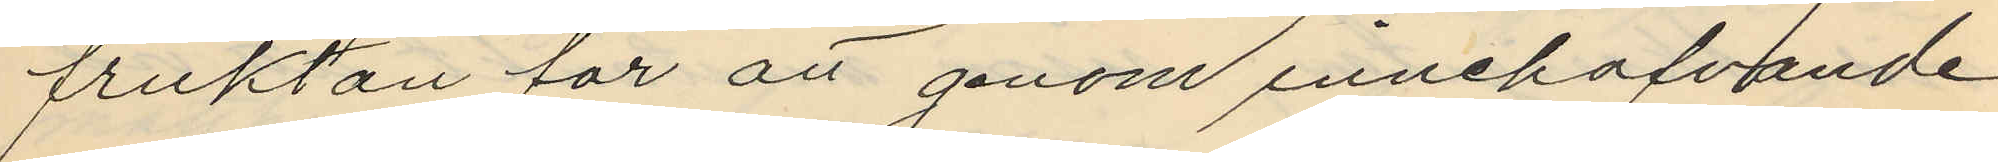fruktan för att genom innehafvande
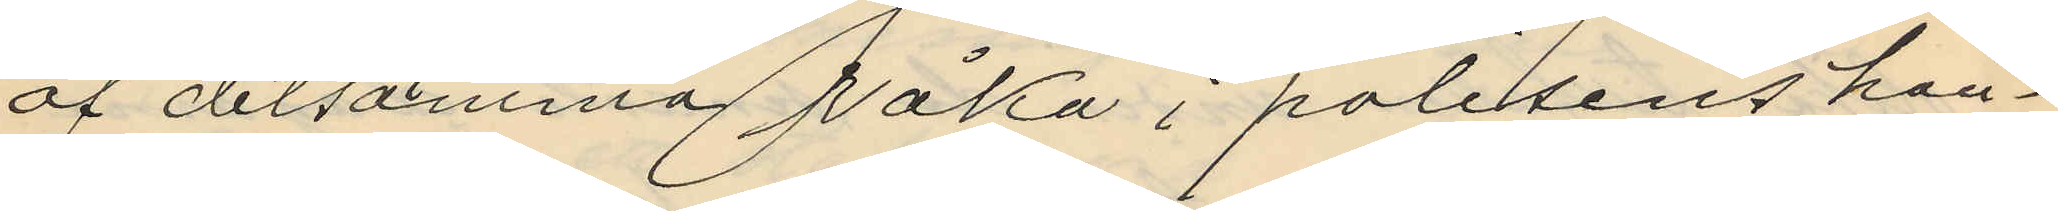af detsamma råka i polisens hän¬
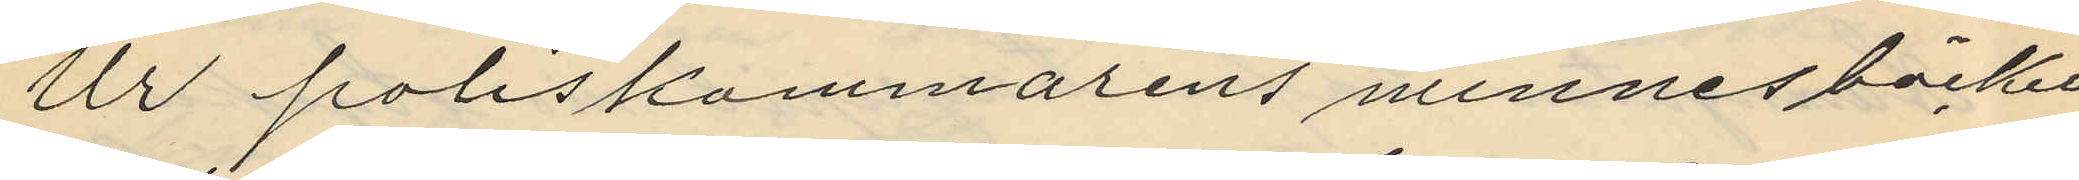Ur poliskammarens minnesböcker
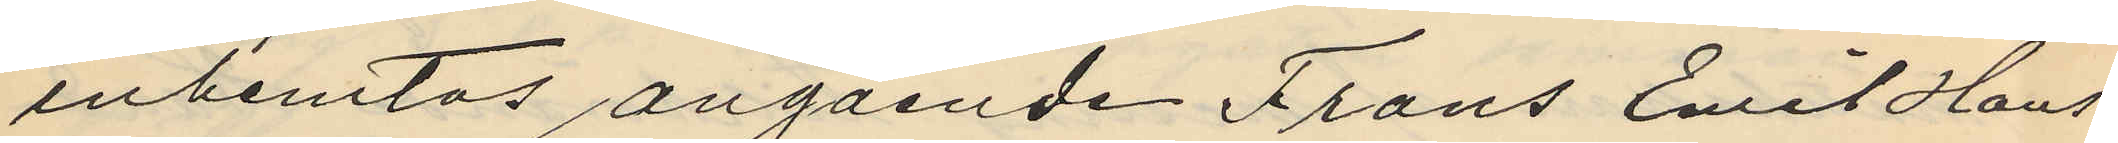inhemtas angående Frans Emil Hans¬
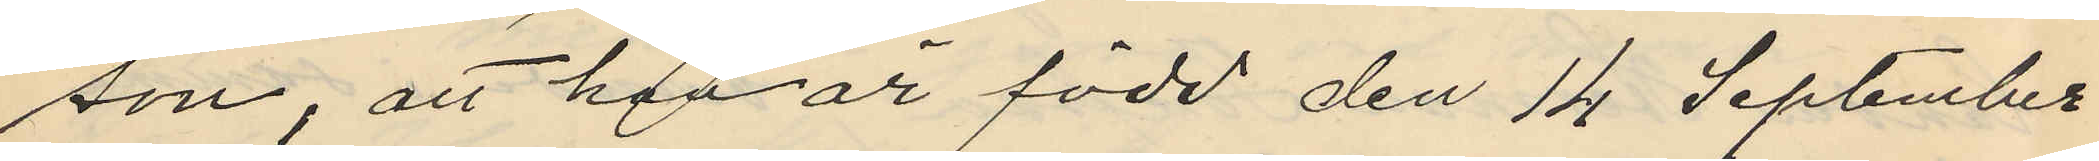son, att han är född den 14 September
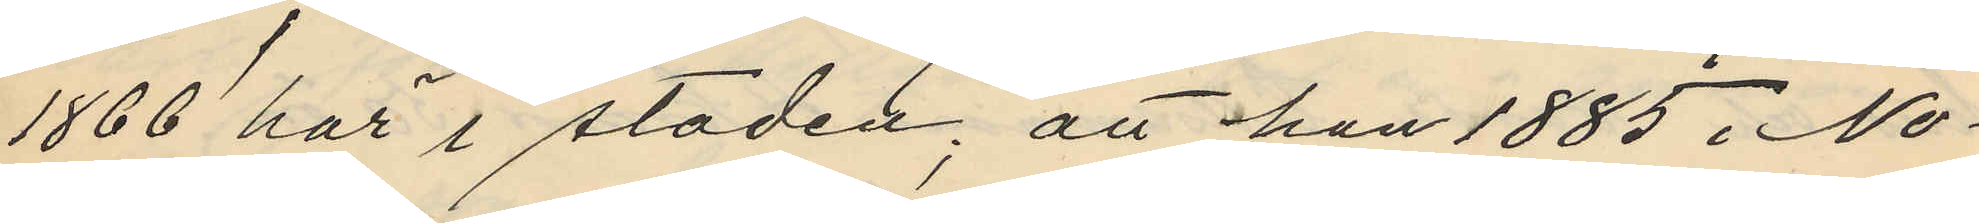1866 här i staden; att han 1885 i No¬
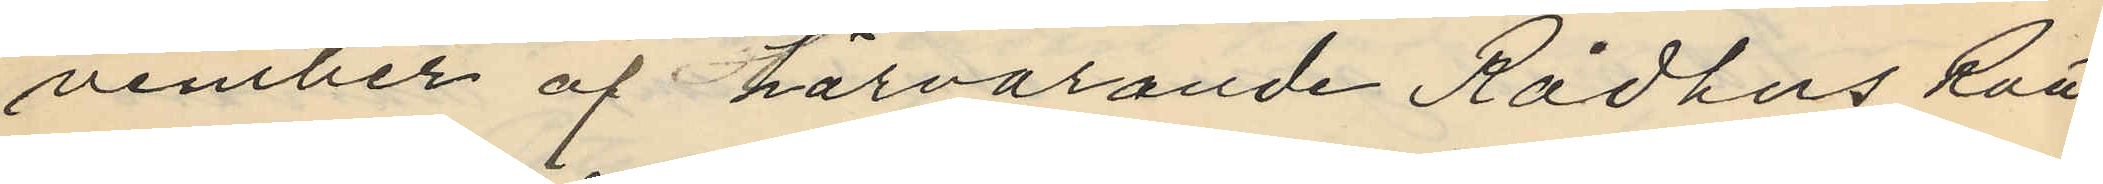vember af härvarande Rådhus Rätt
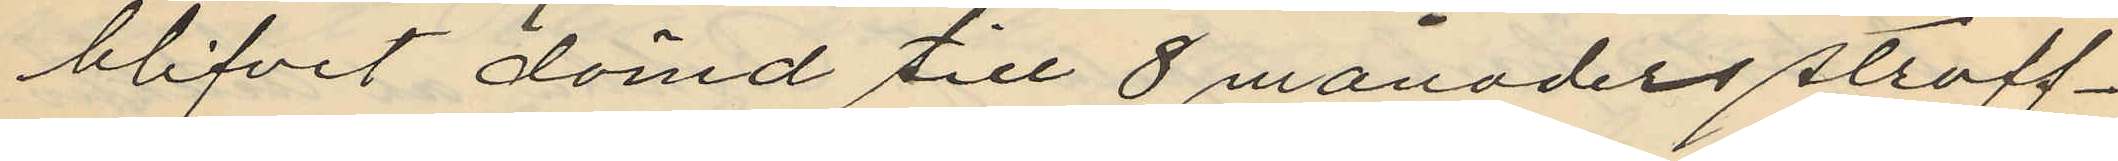blifvit dömd till 8 månaders straff¬
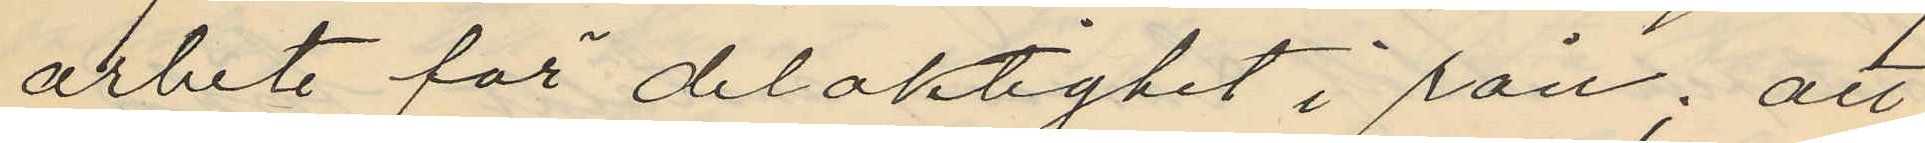arbete för delaktighet i rån; att
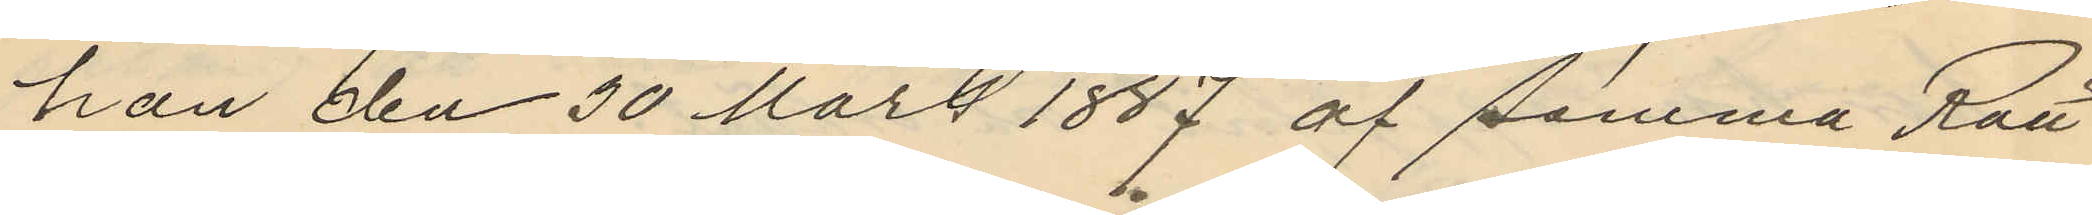han den 30 Mars 1887 af samma Rätt
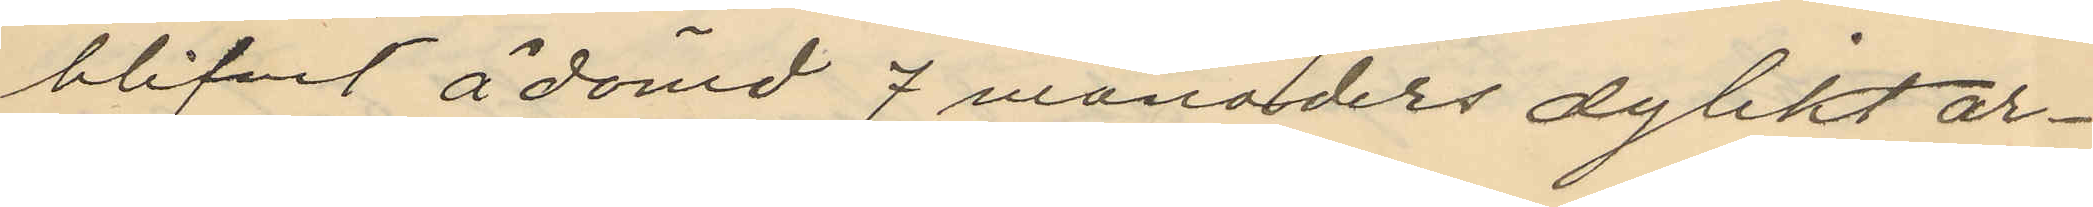blifvit ådömd 7 månaders dylikt ar¬
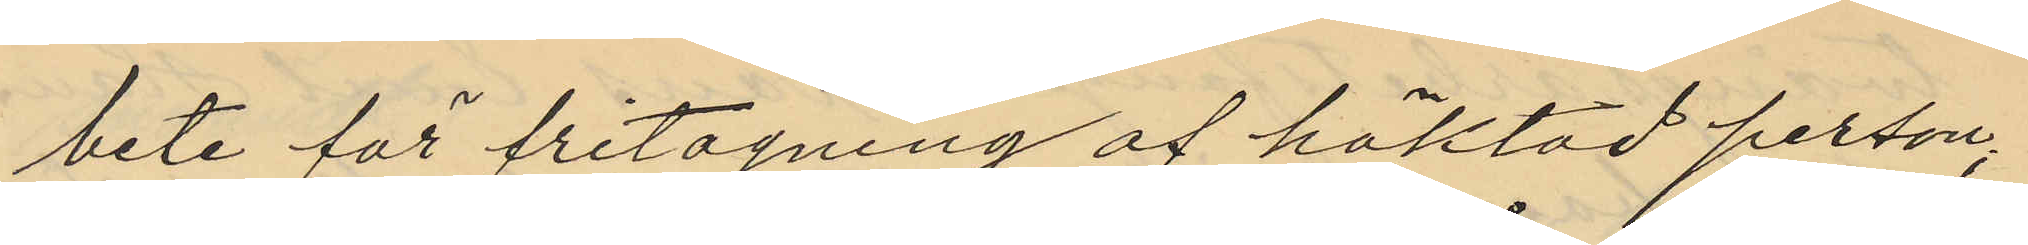bete för fritagning af häktad person;
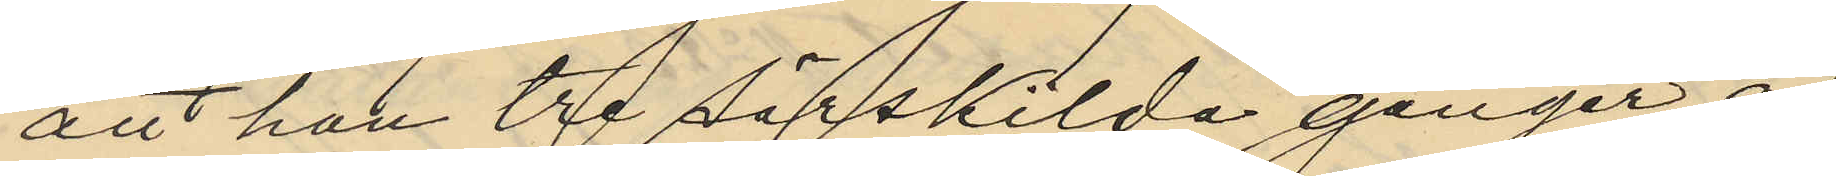att han tre särskilda gånger af
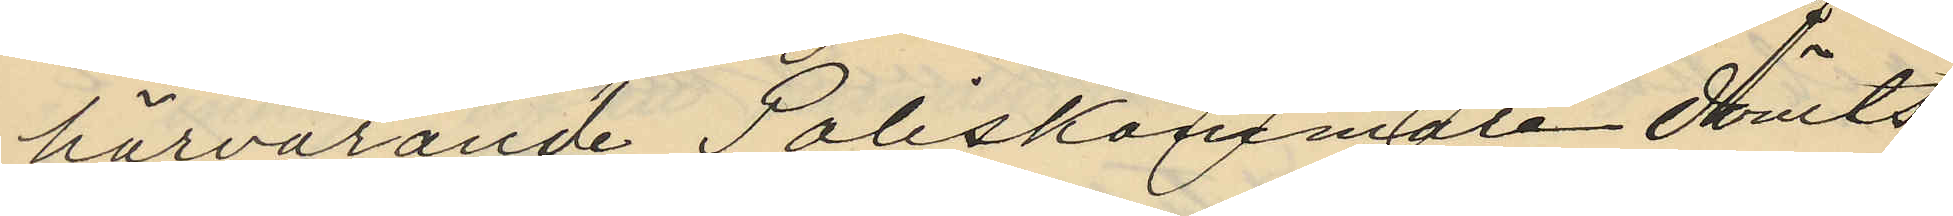härvarande Poliskammare dömts
